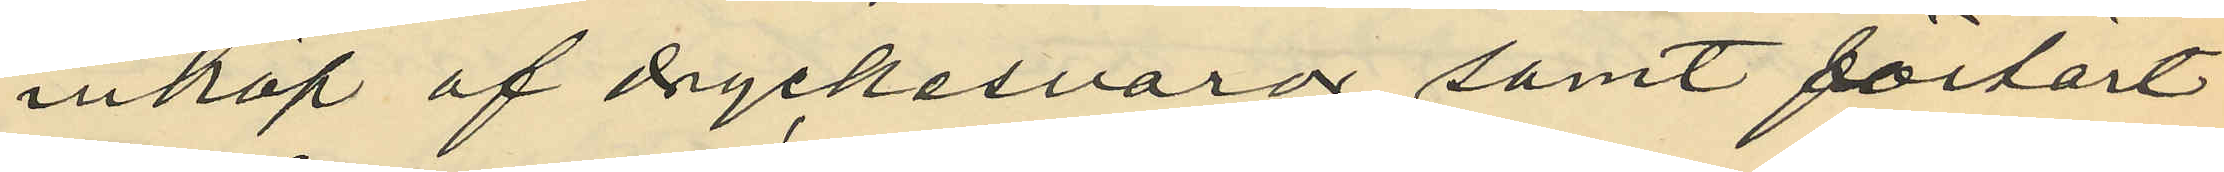inköp af dryckesvaror samt förtärt
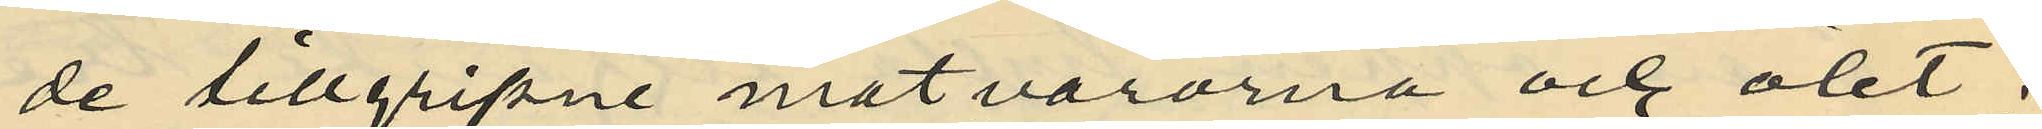de tillgripne matvarorna och ölet,
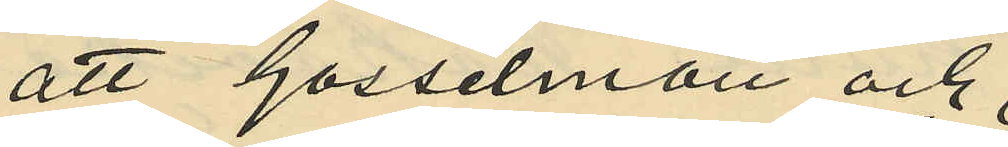att Gosselman och
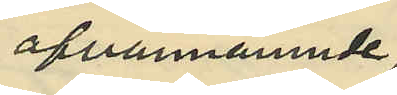ofvannämnde
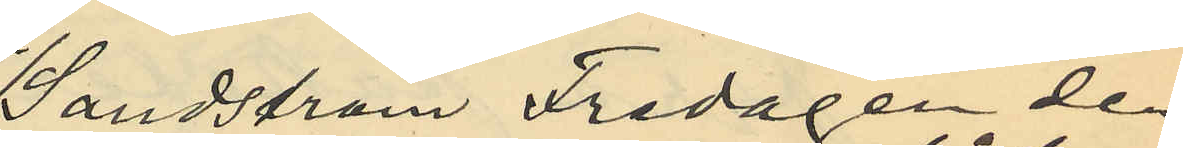Sandström Fredagen den
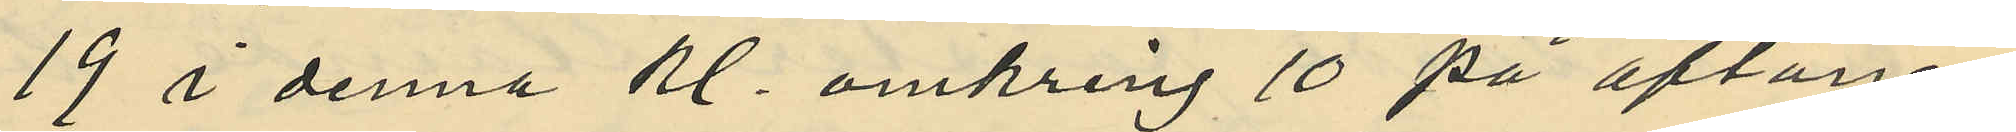19 i denna kl. omkring 10 på aftonen
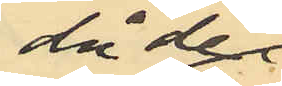då de
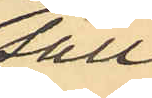säll¬
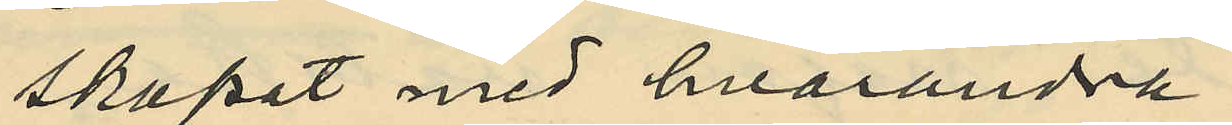skapat med hvarandra
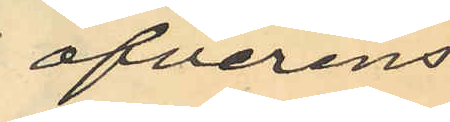öfverens¬
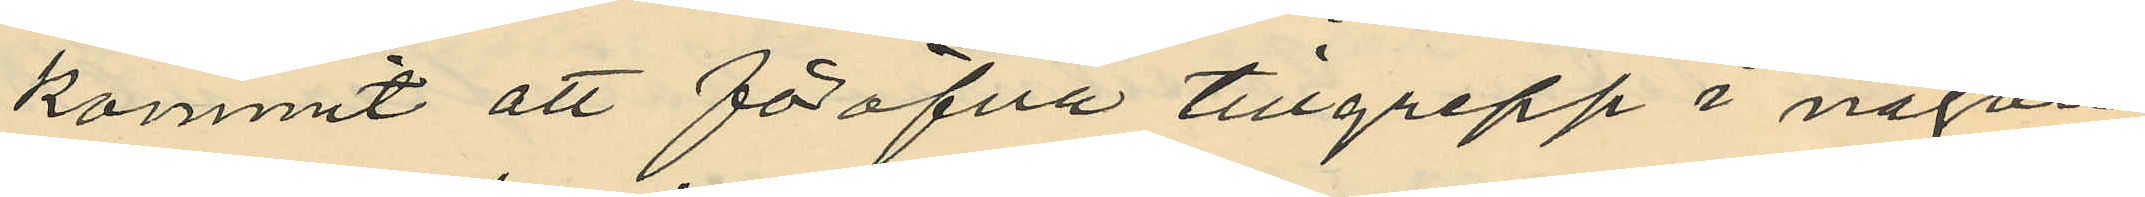kommit att föröfva tillgrepp i någon
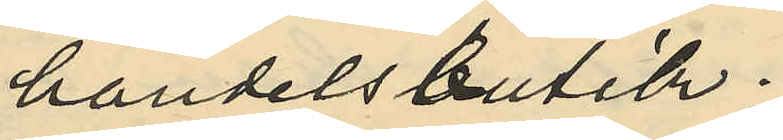handelsbutik.
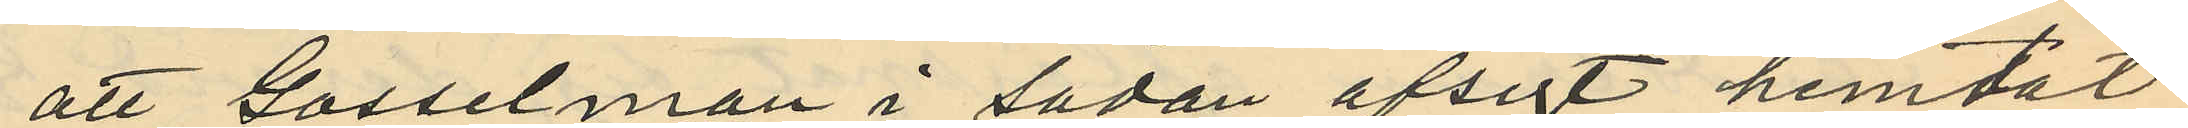att Gosselman i sådan afsigt hemtat
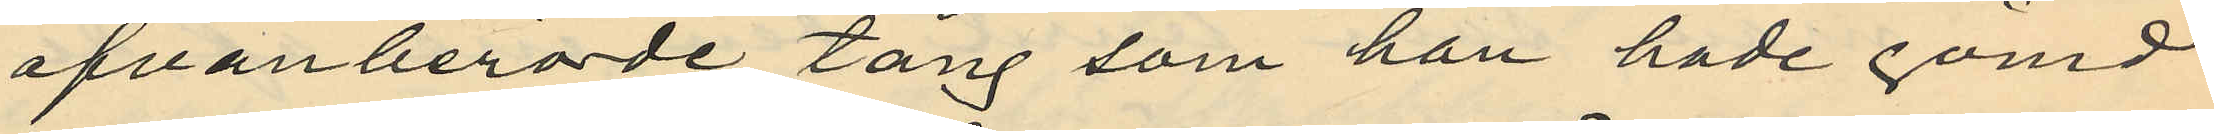ofvanberörde tång som han hade gömd
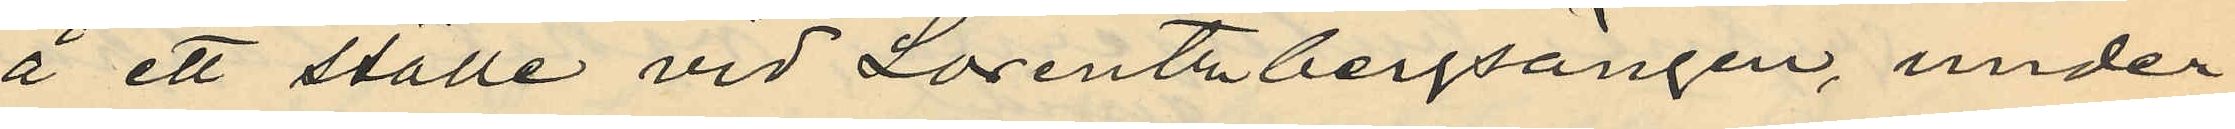å ett ställe vid Lorentzbergsängen, under
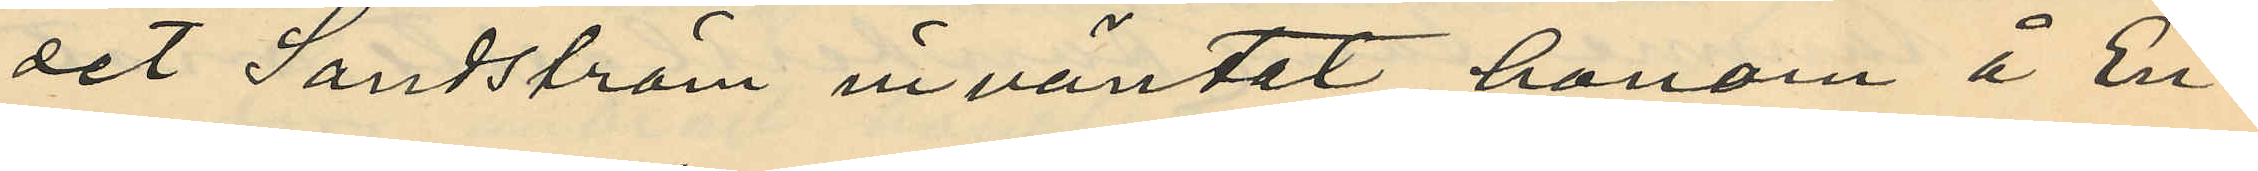det Sandström inväntat honom i En¬
